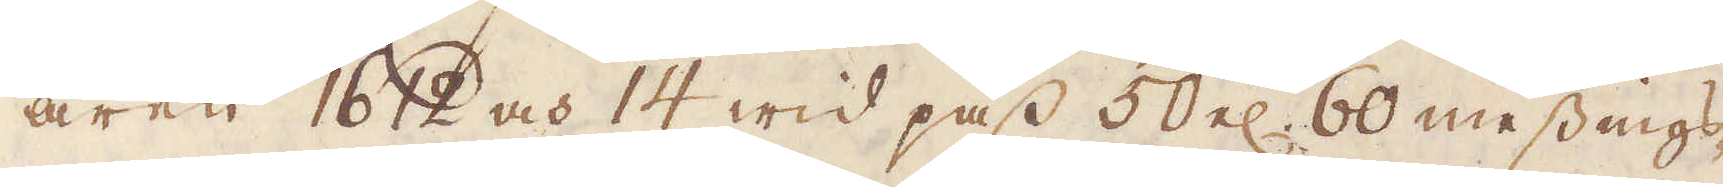åren 1612 och 14 wid pass 50 el: 60 messings-
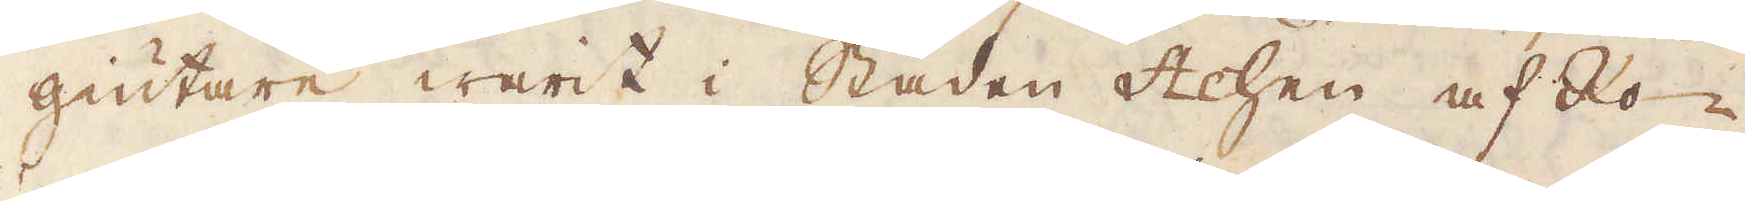giutare warit i Staden Achen af Ro-
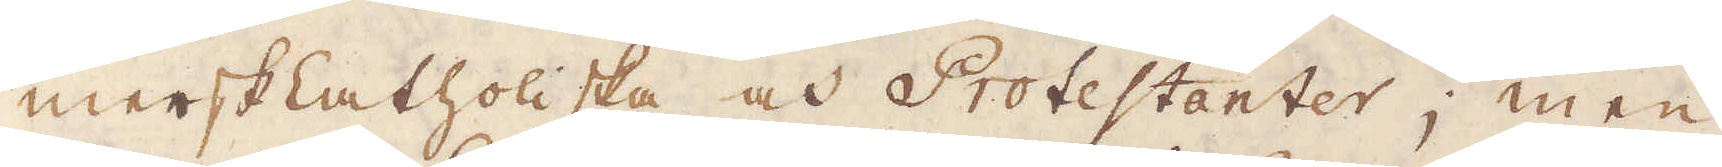merskCatholiska och Protestanter; men
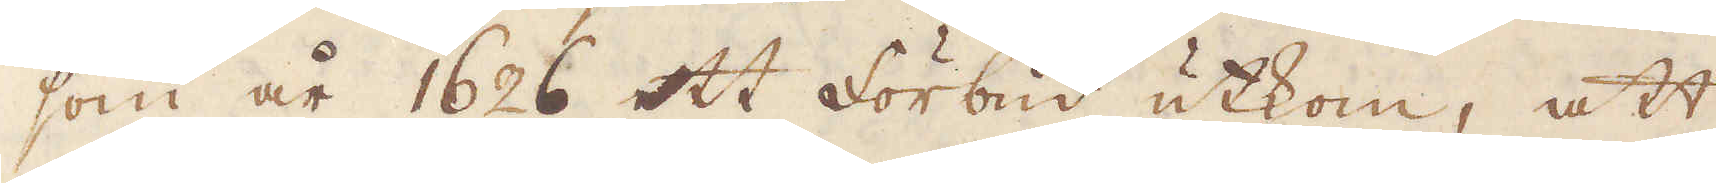som år 1626 ett förbud utkom, att
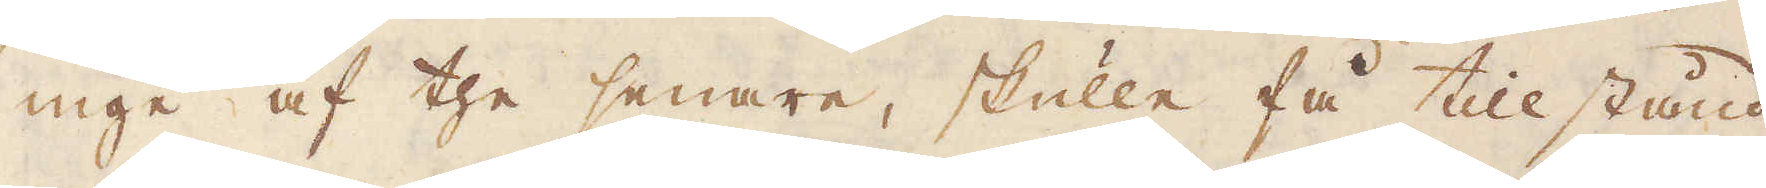inge af the senare, skulle få tillstånd
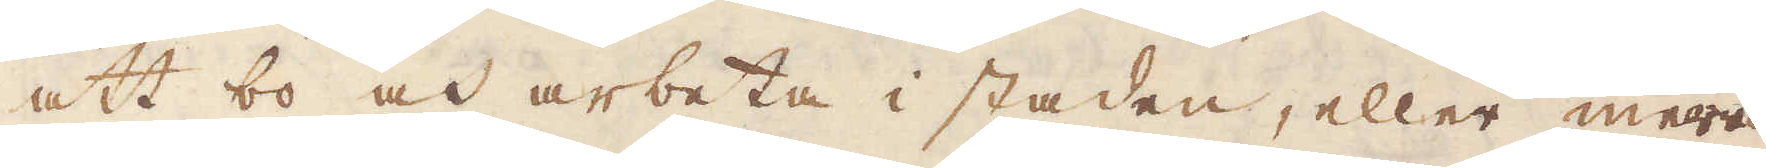att bo och arbeta i staden, eller mera
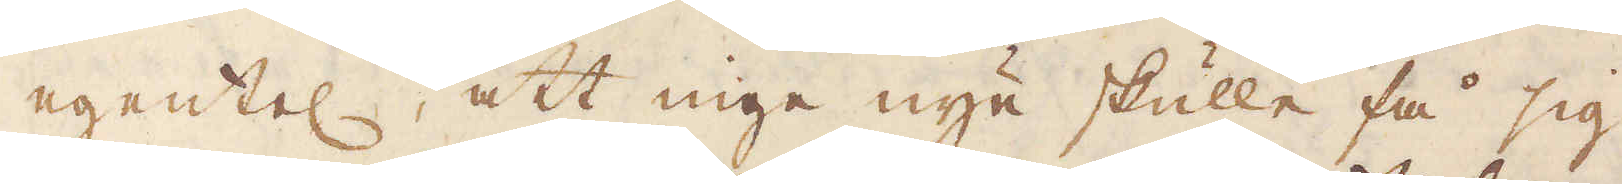egentel: att inge nye skulle få sig
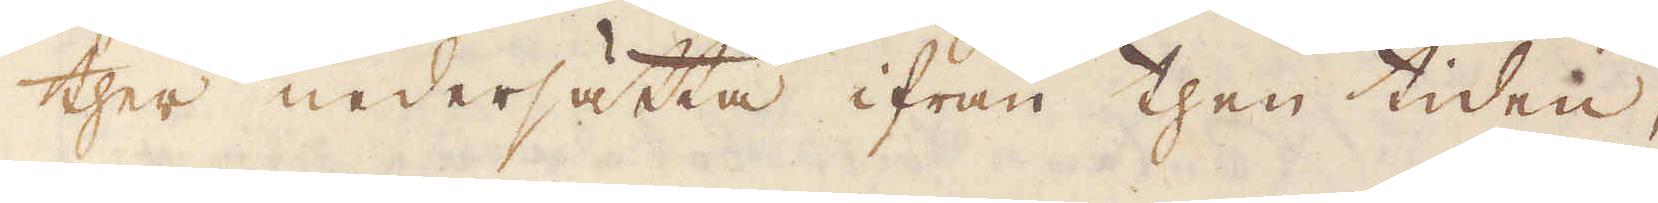ther nedersätta ifrån then tiden,
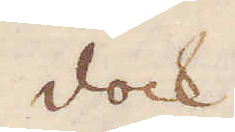dock
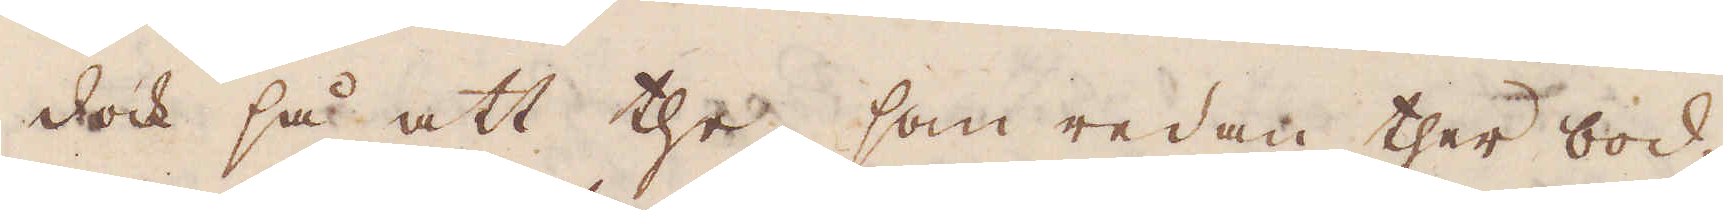dock så att the, som redan ther bod-
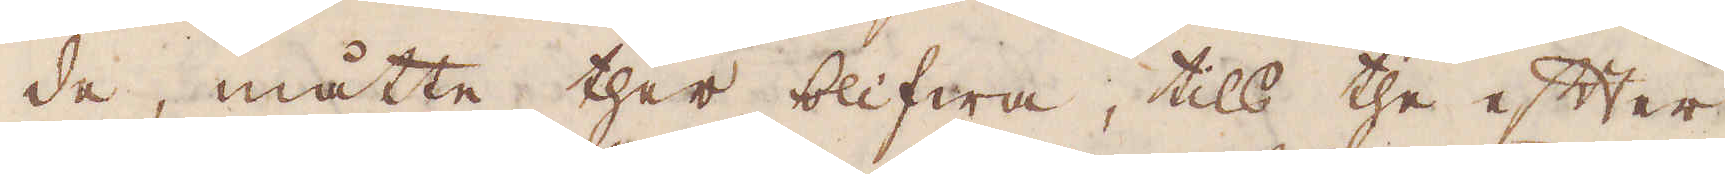de, måtte ther blifwa, tils the efter
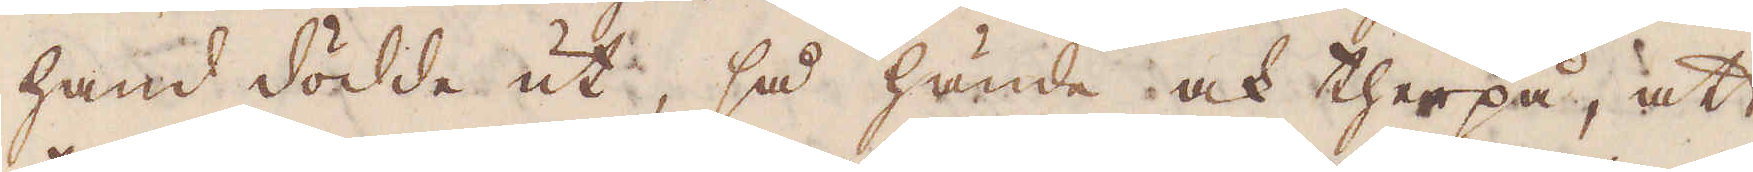hand dödde ut, så hände ock therpå, att
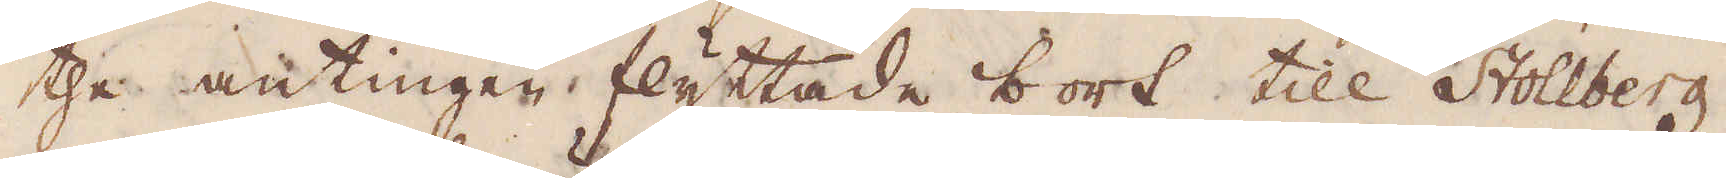the antingen flyttade bort till Stollberg,
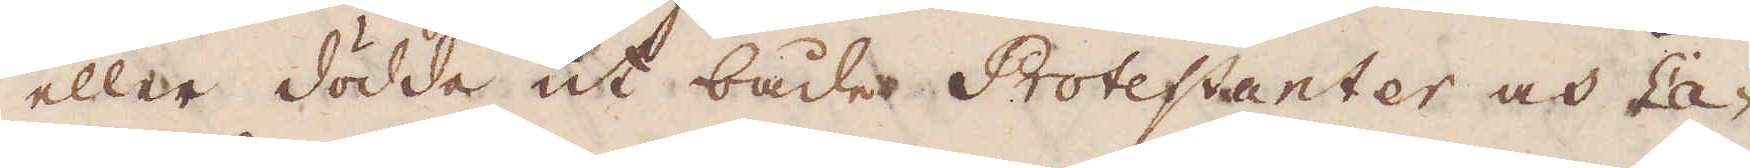eller dödde ut både Protestanter och Ca-
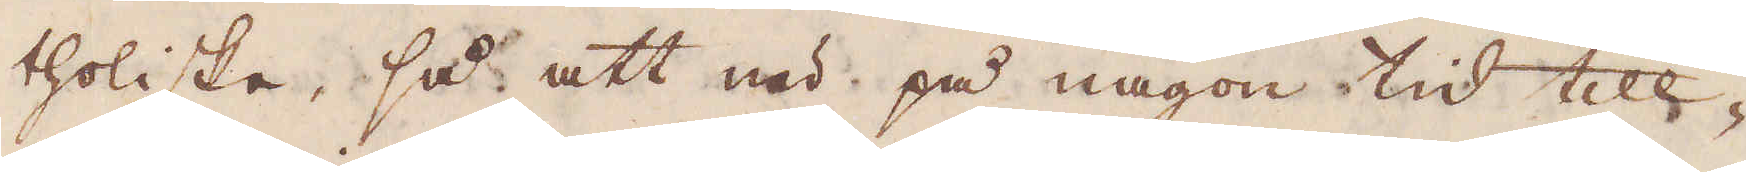tholiske, så att nu på någon tid till-
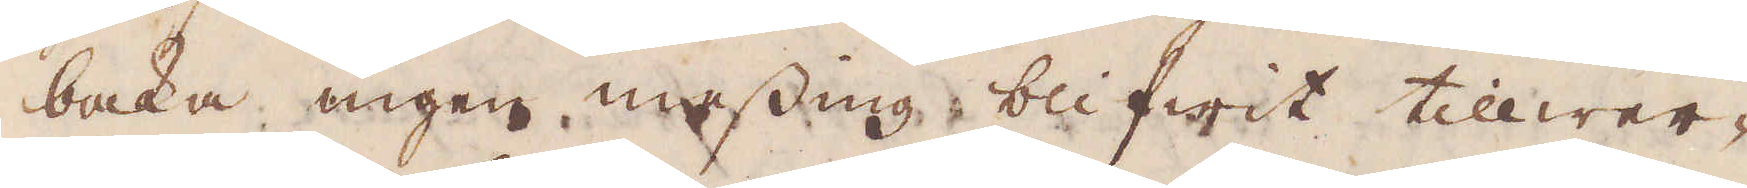baka ingen messing blifwit tillwer-
